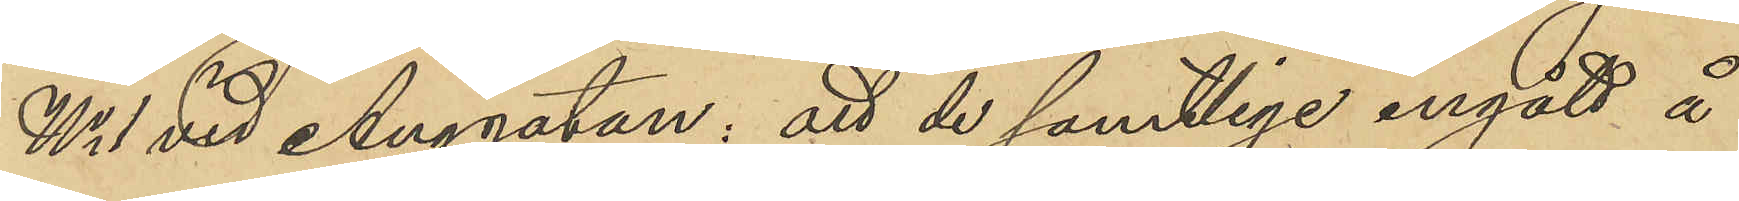No 1 vid Änggatan, att de samtlige ingått å
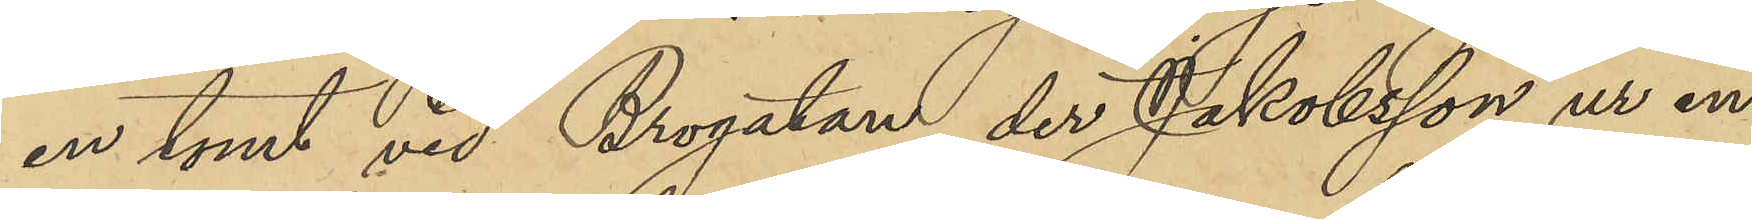en tomt vid Brogatan, der Jakobsson ur en
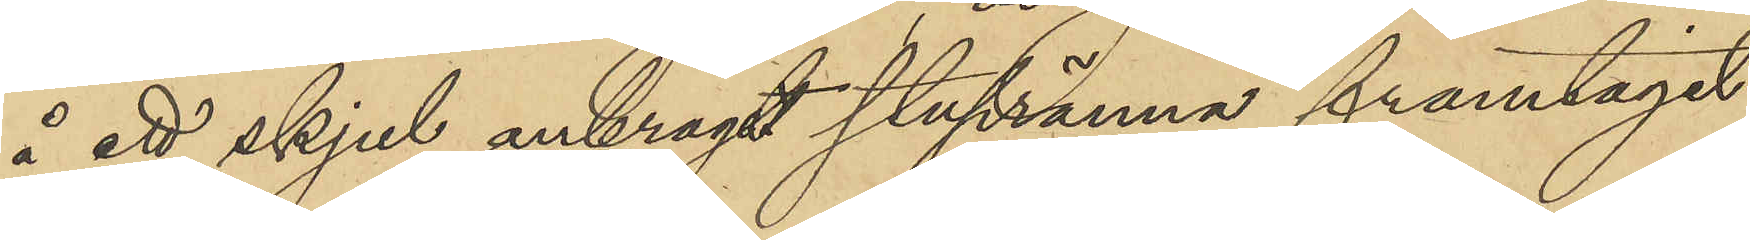å ett skjul anbragdt stupränna framtagit
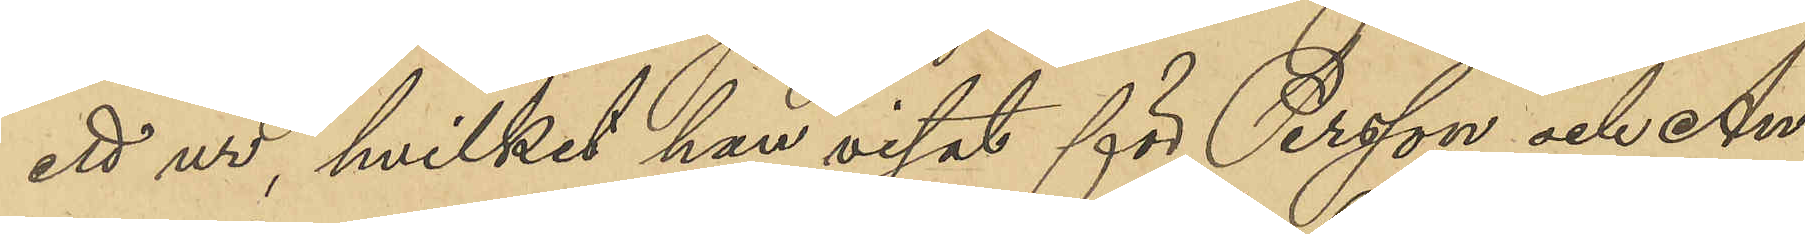ett ur, hvilket han visat för Persson och An¬
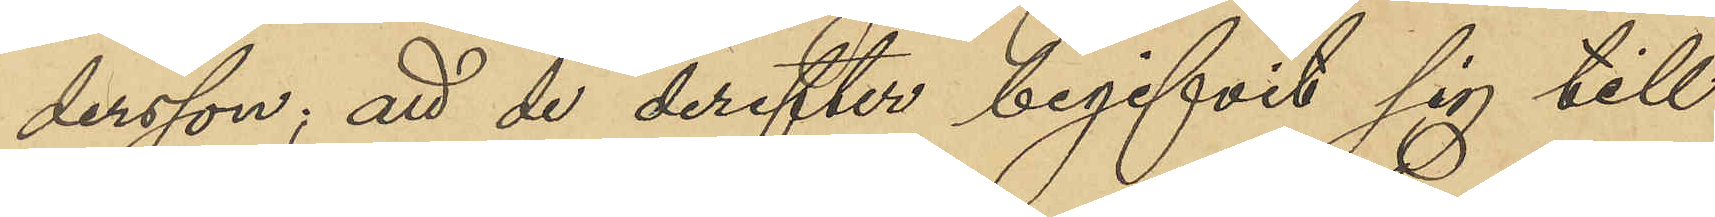dersson; att de derefter begifvit sig till
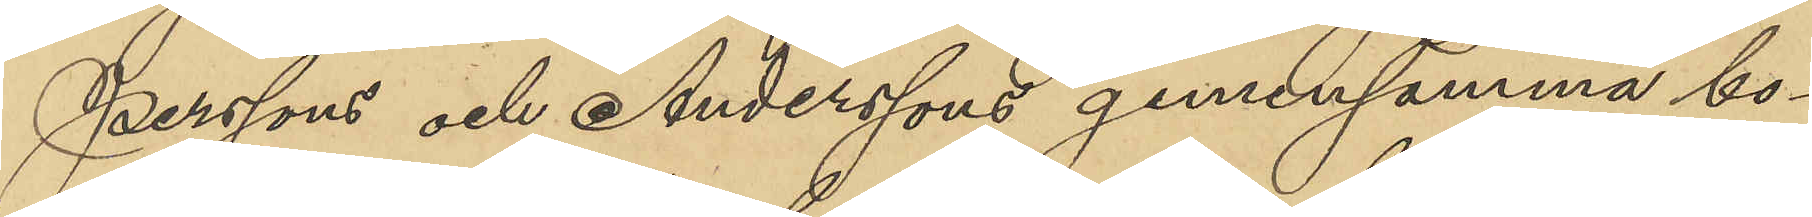Perssons och Anderssons gemensamma bo¬
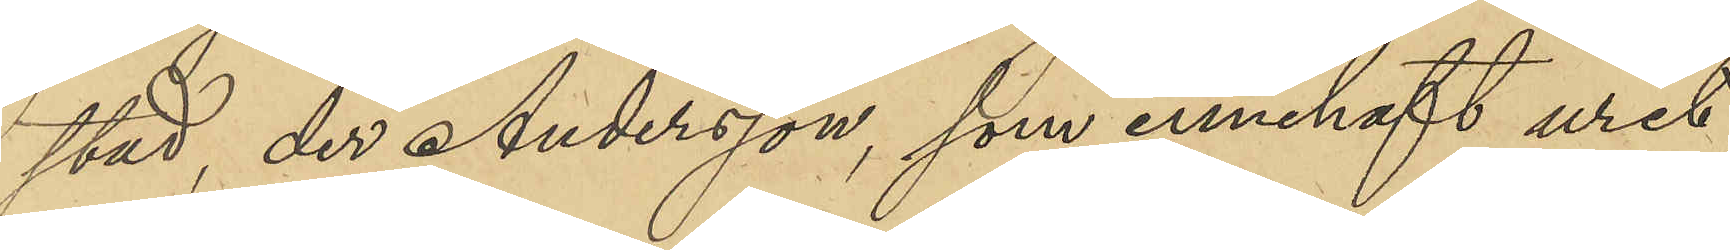stad, der Andersson, som innehaft uret,
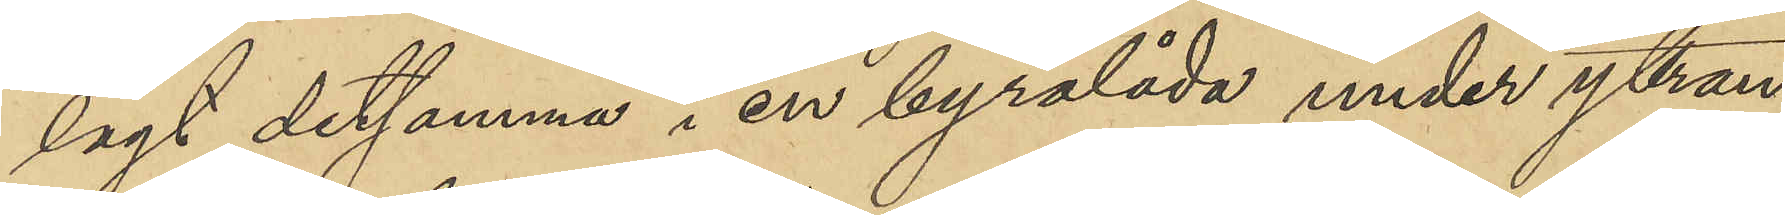lagt detsamma i en byrålåda under yttran¬
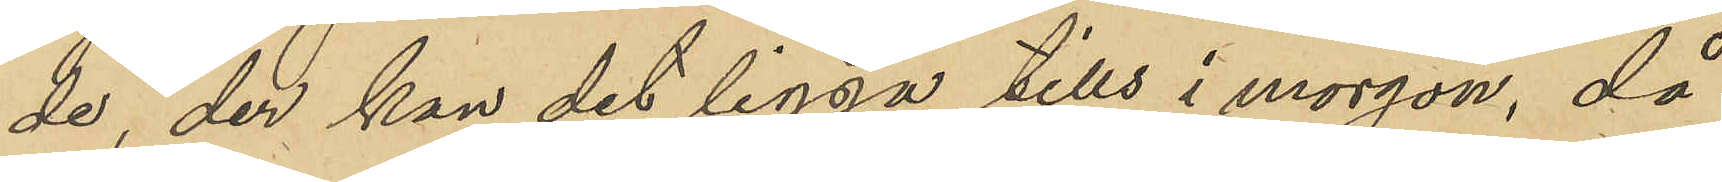de "der kan det ligga tills i morgon, då
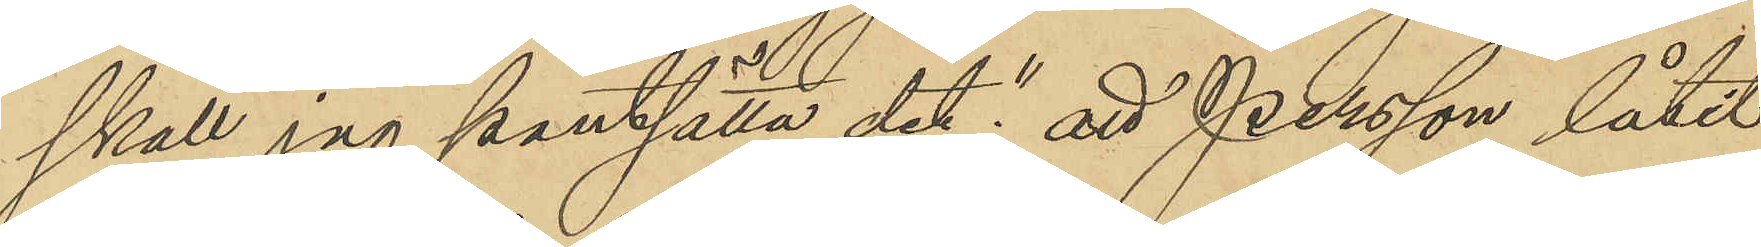skall jag pantsätta det"; att Persson låtit
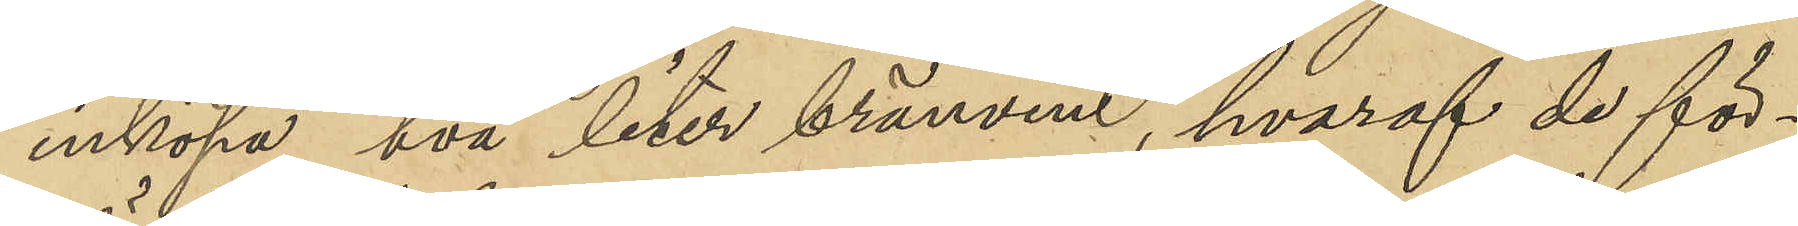inköpa två liter brännvin, hvaraf de för¬
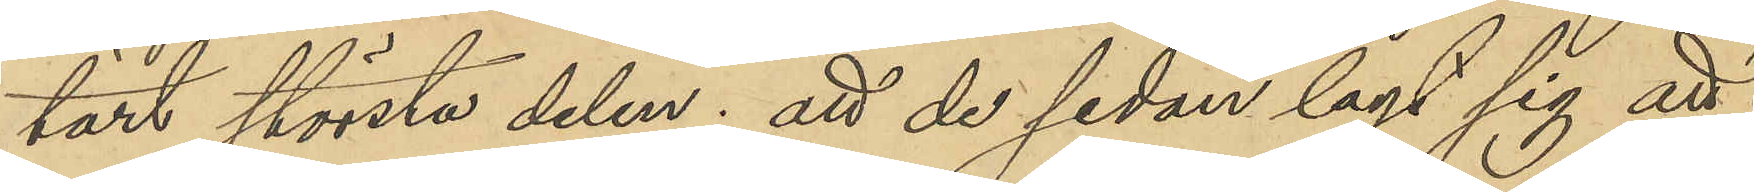tärt största delen; att de sedan lagt sig att
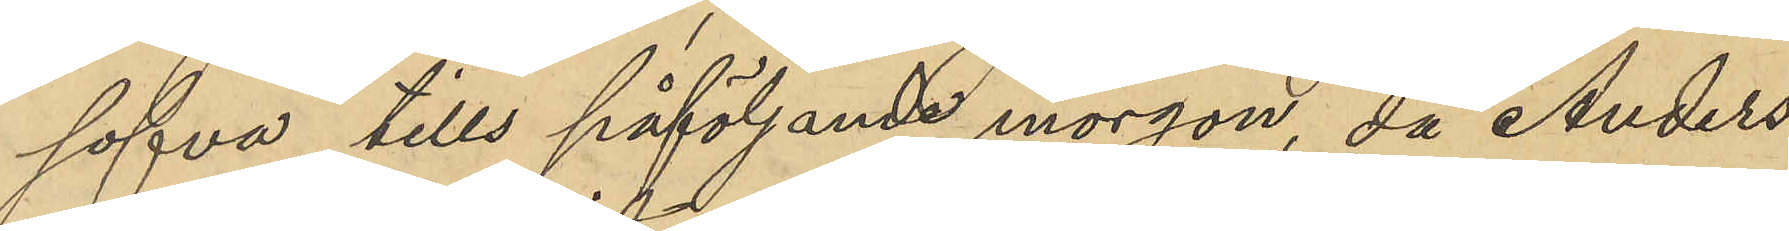sofva tills påföljande morgon, då Anders¬
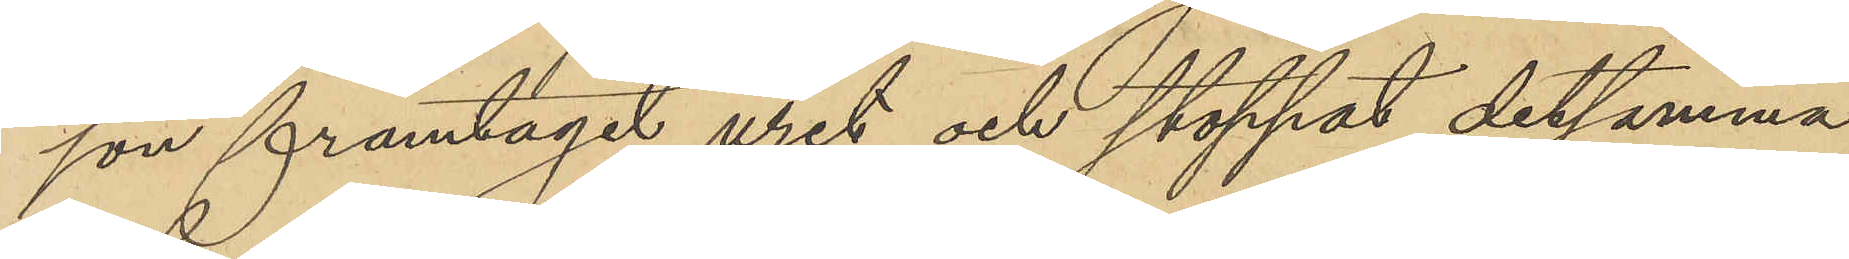son framtagit uret och stoppat detsamma
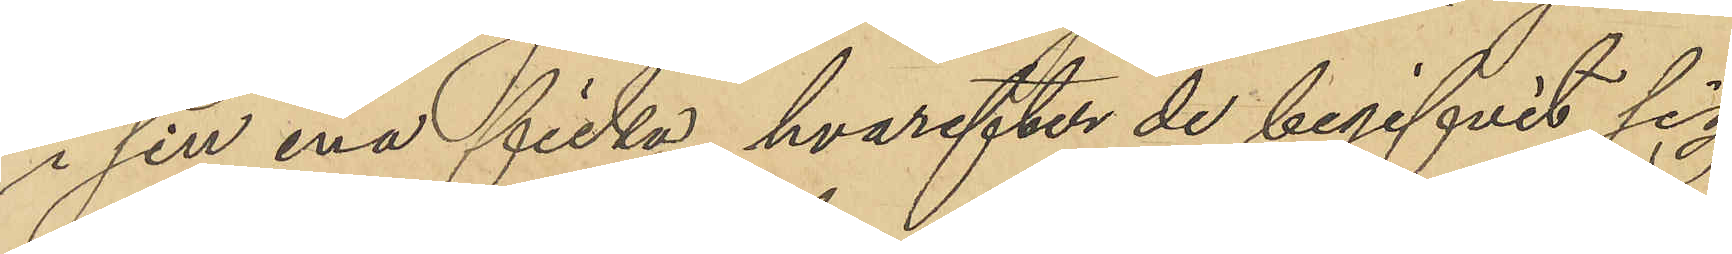i sin ena ficka, hvarefter de begifvit sig
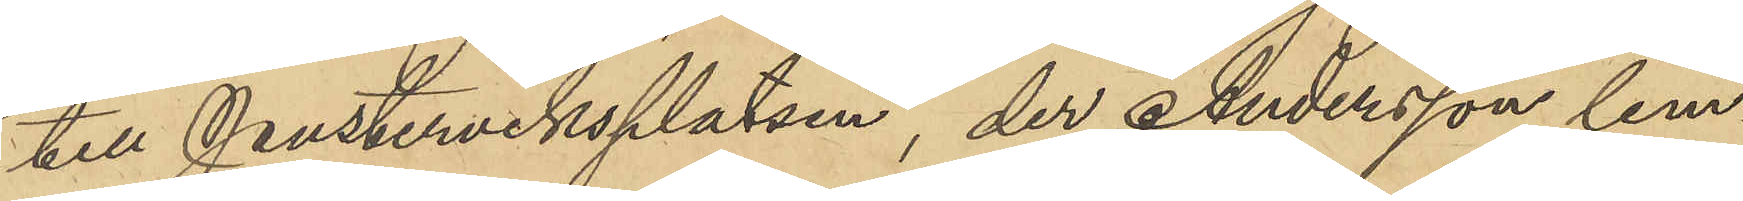till Pusterviksplatsen, der Andersson lem¬
